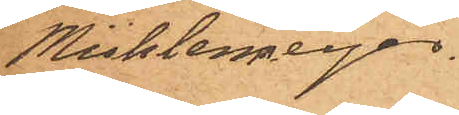Mühlenmeijer
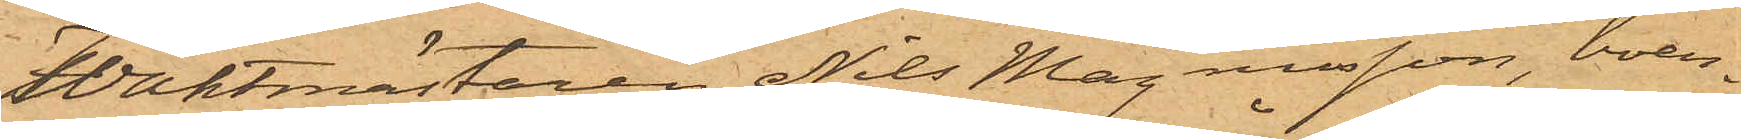Waktmästaren Nils Magnusson, boen¬
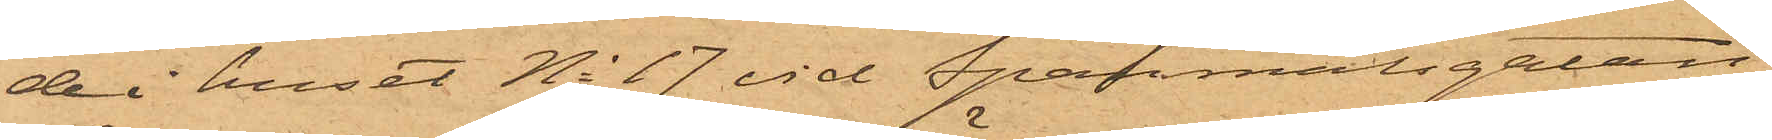de i huset No 17 vid Spanmålsgatan,
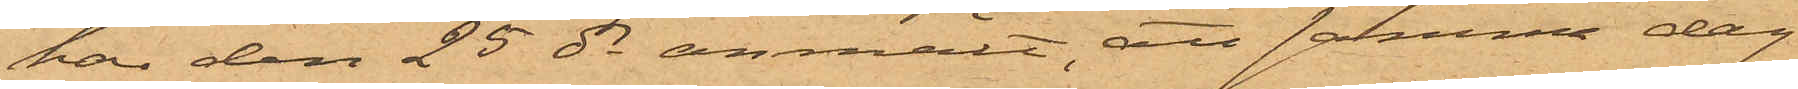har den 25 ds anmält, att samma dag
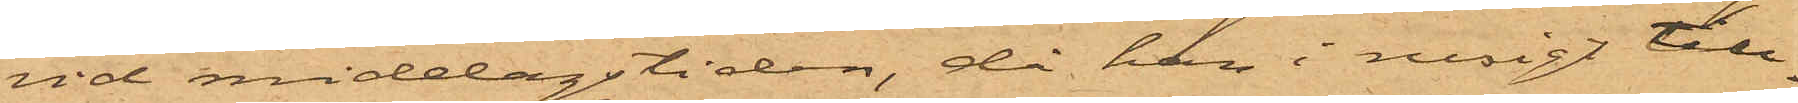vid middagstiden, då han i rusigt till¬
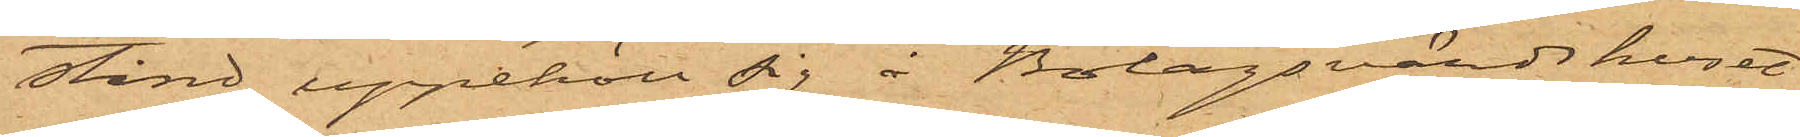stånd uppehöll sig å Bolagsvärdshuset
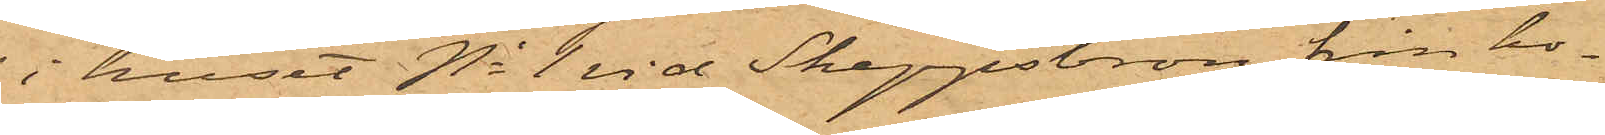i huset No 1 vid Skeppsbron, från ho¬
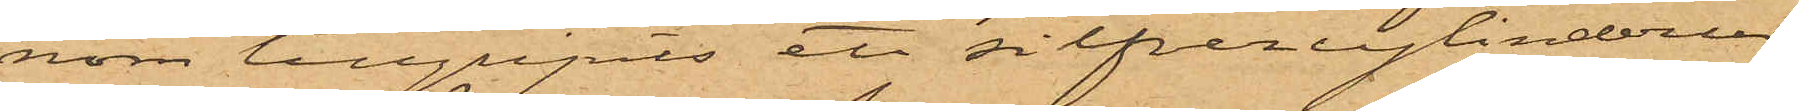nom tillgripits ett silfvercylinderur
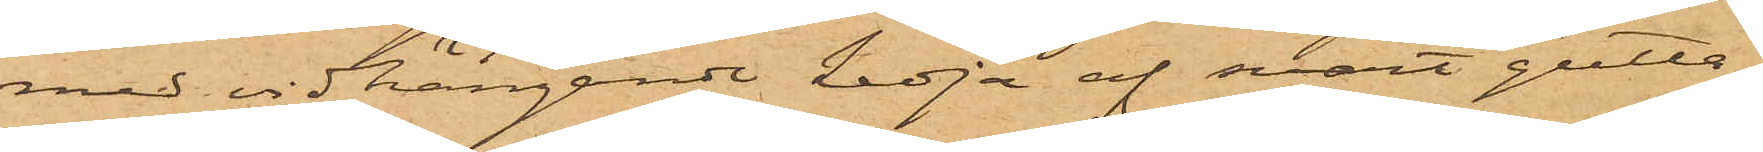med vidhängande kedja af svart gutta¬
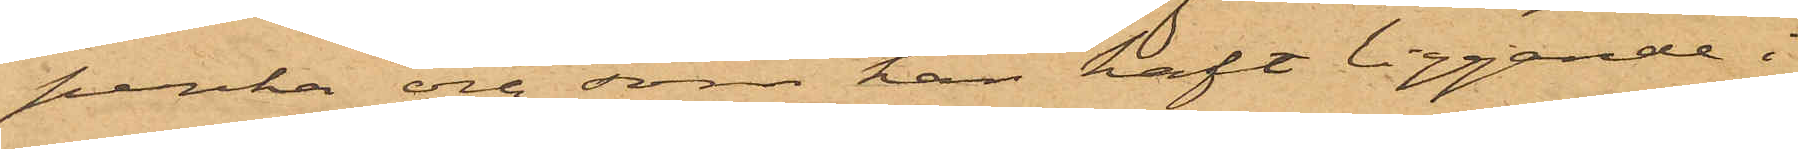perka och som han haft liggande i
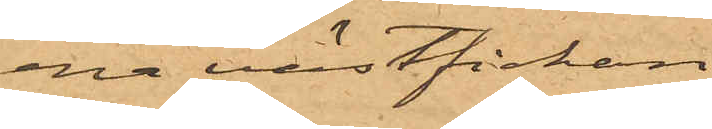ena västfickan.
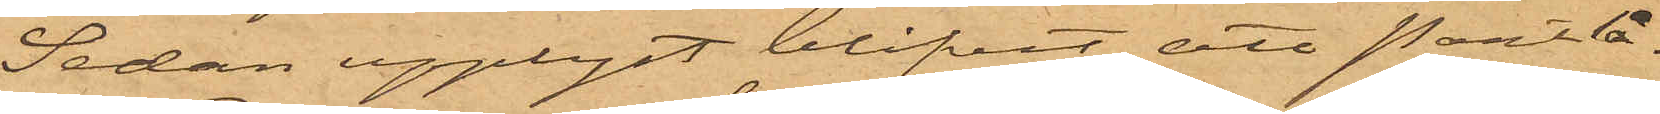Sedan upplyst blifvit att Pantlå¬
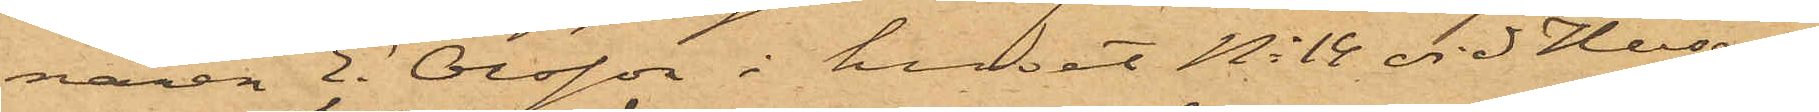naren E. Olsson i huset No 14 vid Husar¬
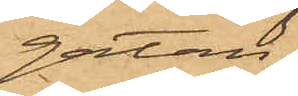gatan
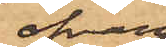ofvan¬
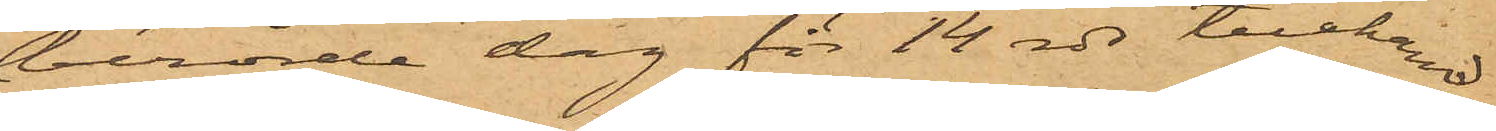berörde dag för 14 rdr tillhand¬
